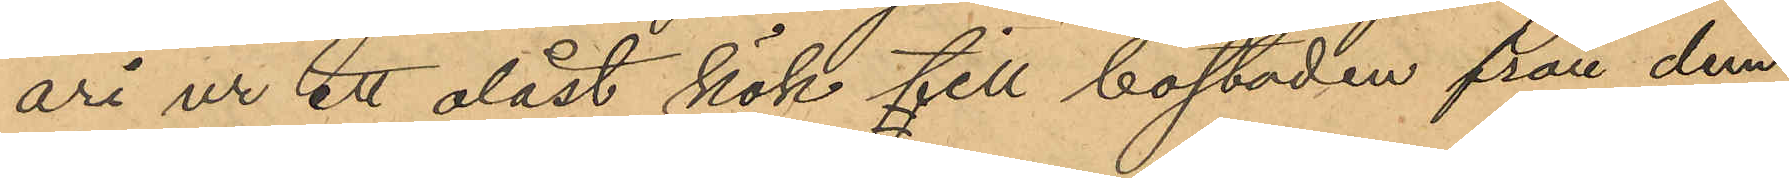ari ur ett olåst kök till bostaden från dem
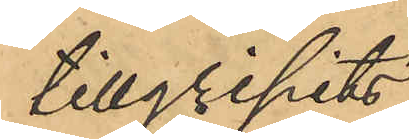tillgripits:
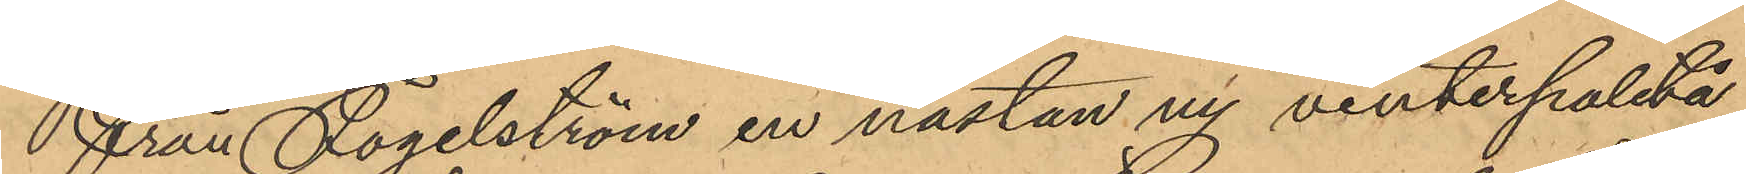från Fogelström en nästan ny vinterpaletå
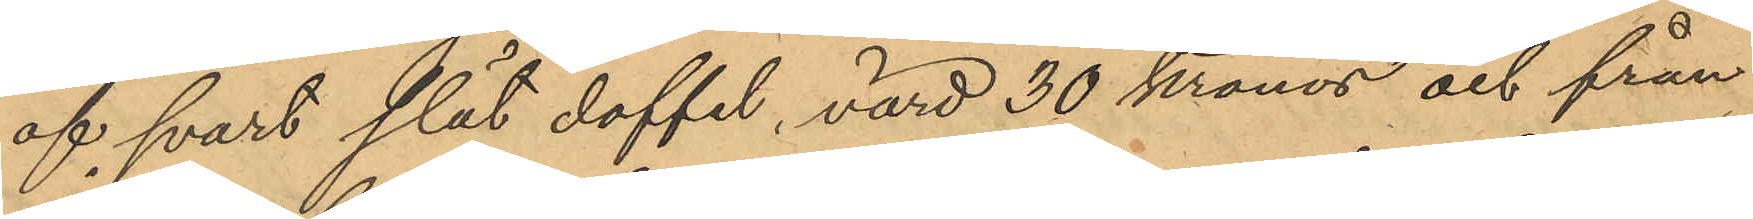af svart slät doffel, värd 30 kronor och från
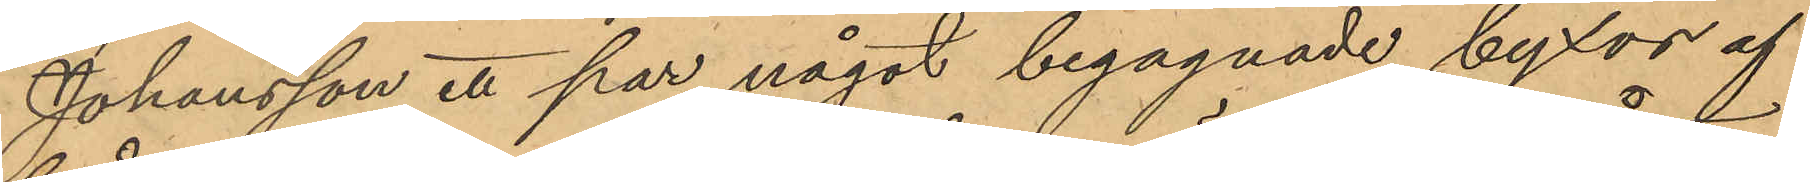Johansson ett par något begagnade byxor af
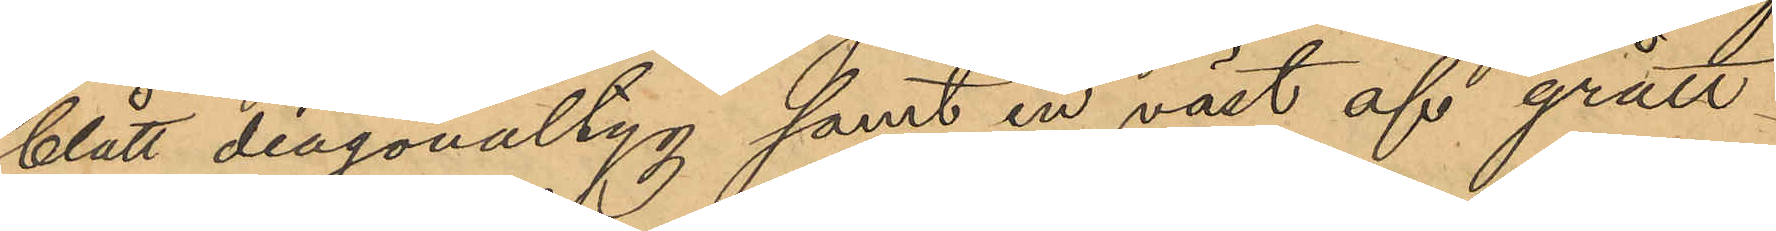blått diagonaltyg samt en väst af grått
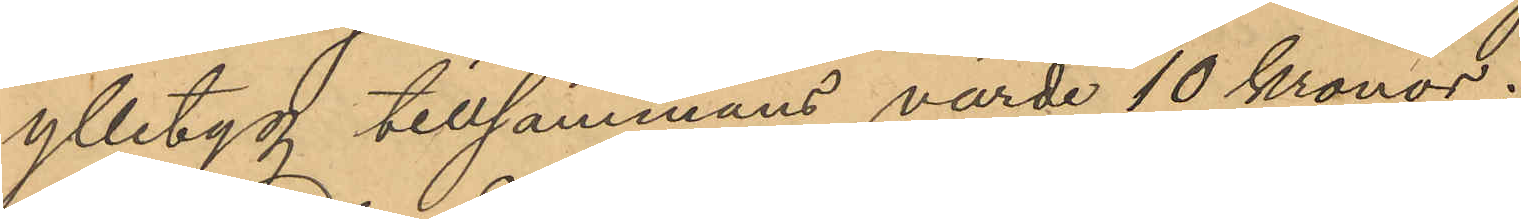ylletyg tillsammans värde 10 Kronor.
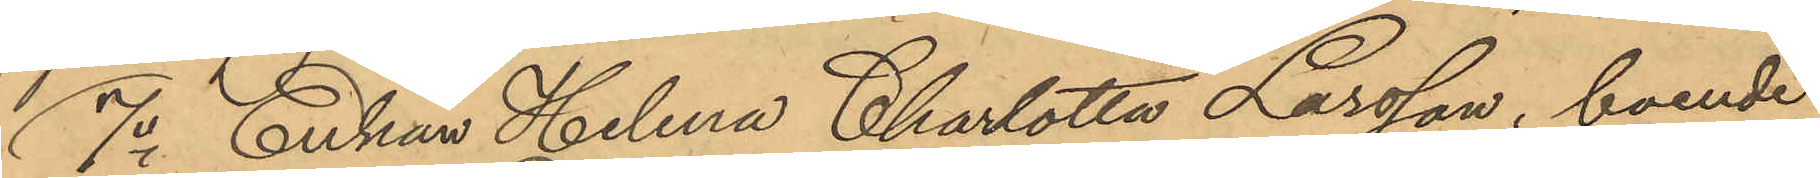1o Enkan Helena Charlotta Larsson, boende
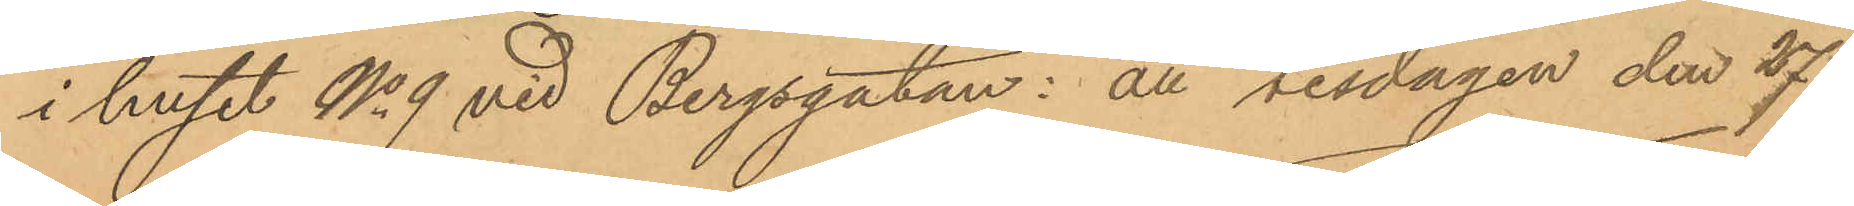i huset No 9 vid Bergsgatan: att tisdagen den 27
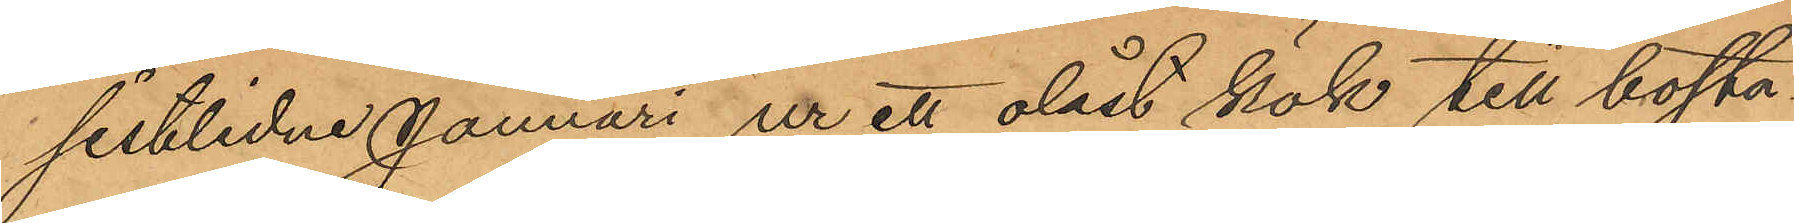sistlidne Januari ur ett olåst kök till bosta¬
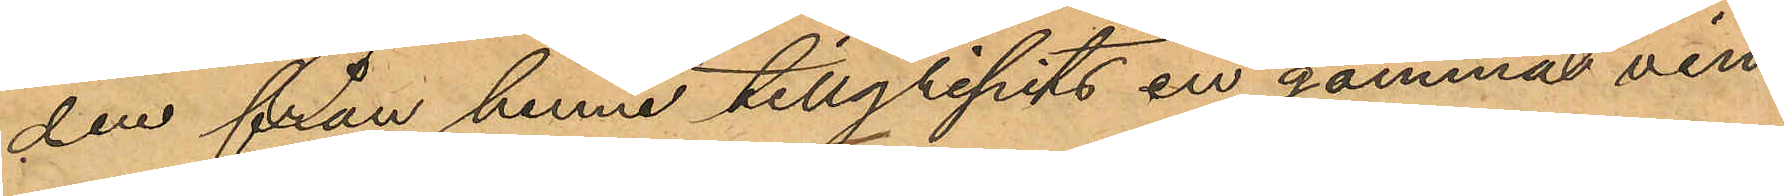den från henne tillgripits en gammal vin¬
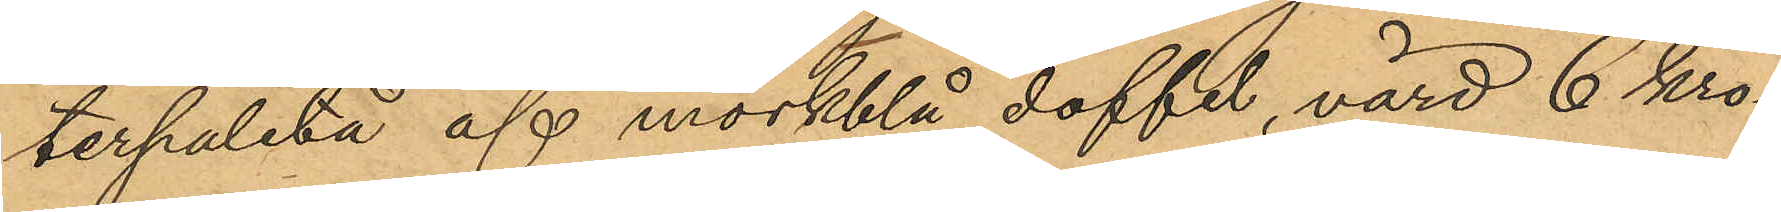terpaletå af mörkblå doffel, värd 6 kro¬
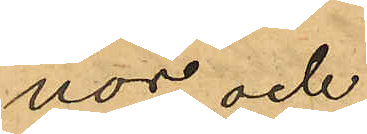nor, och
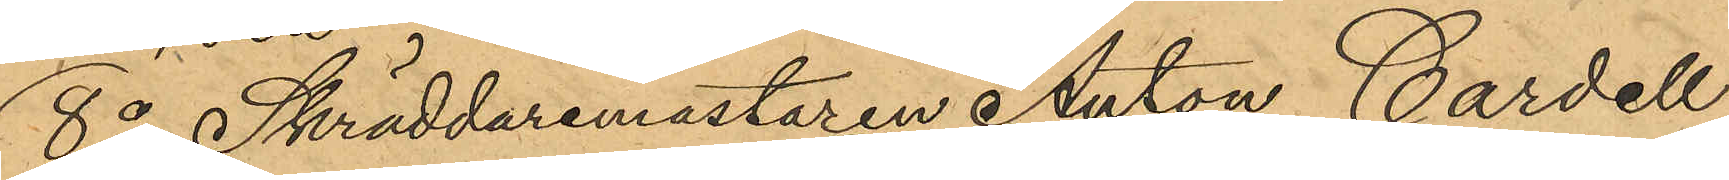8o Skräddaremästaren Anton Cardell
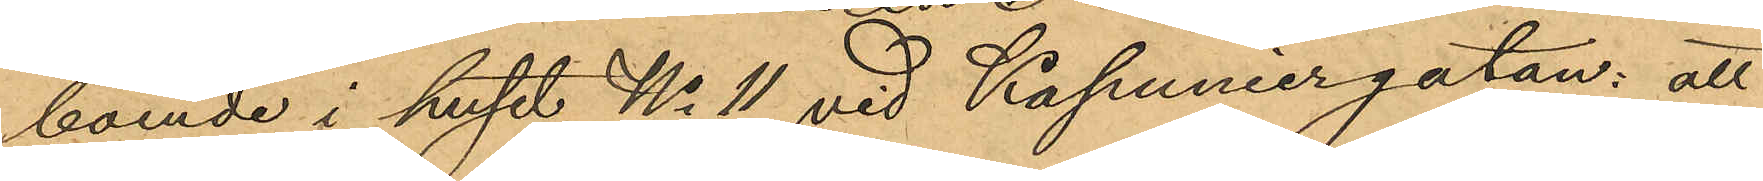boende i huset No 11 vid Kapuniergatan: att
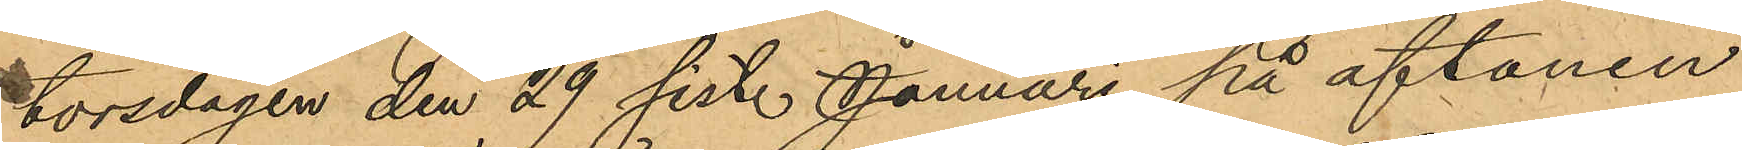torsdagen den 29 sist. Januari på aftonen
